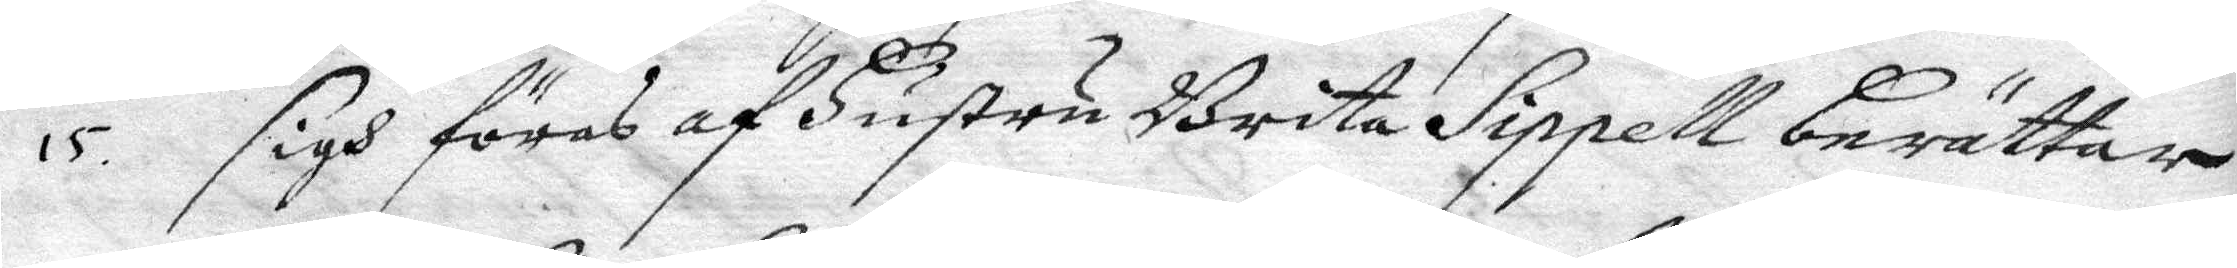15 sigh föras af hustru Brita Sippell berättar
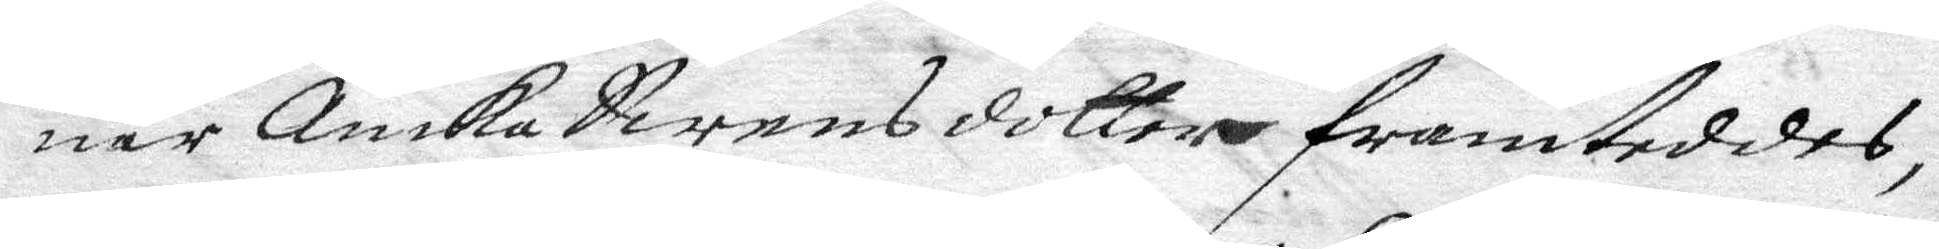när Annika Swnwsdotter framteddes,
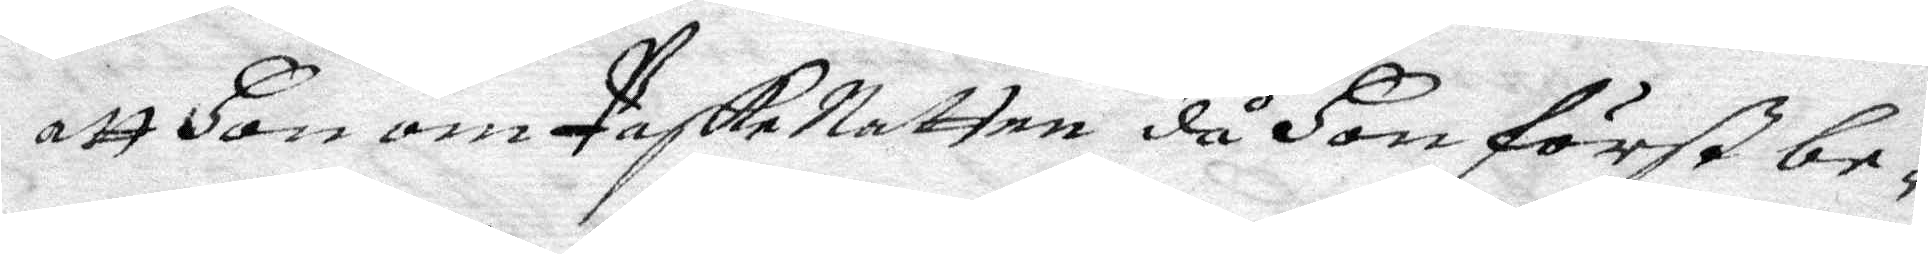att hon om PaskeNatten då hon först be¬
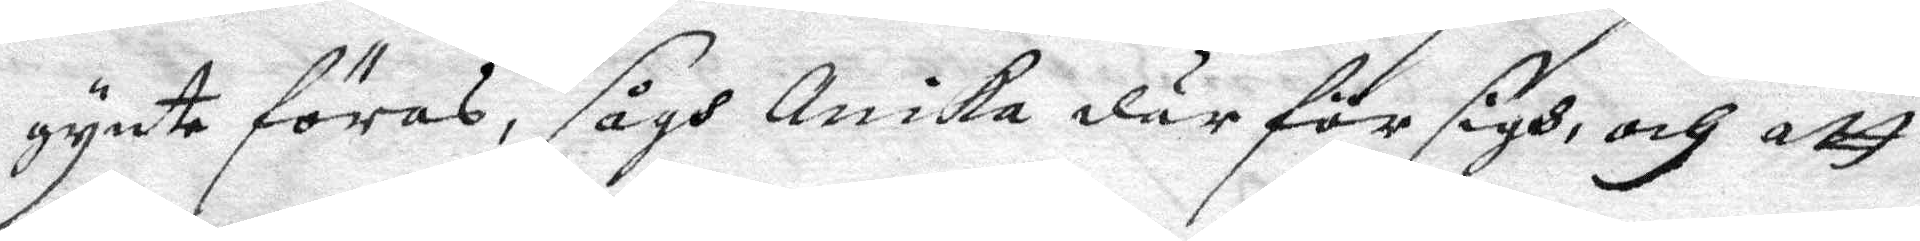gynt föras, sågh Annika där för sigh och att
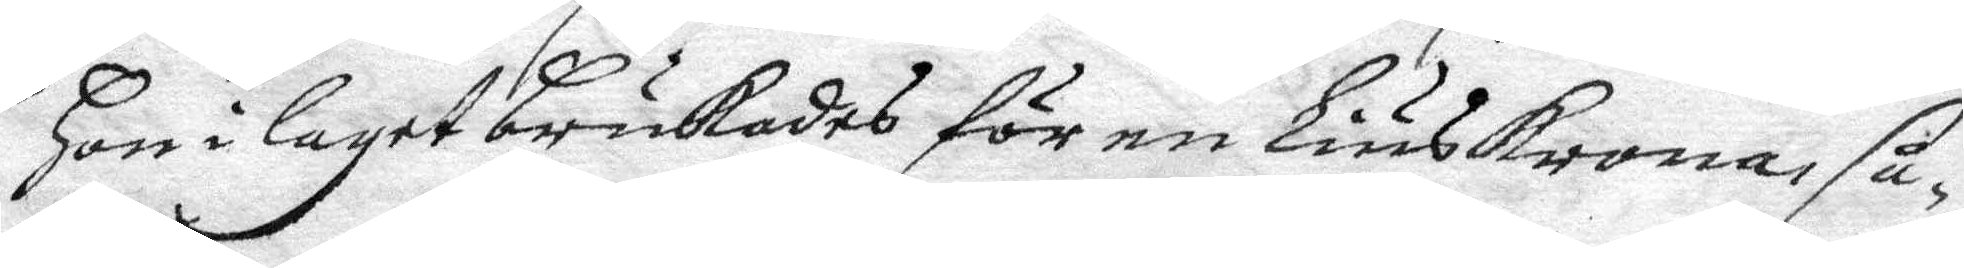hon i laget brukades för en liuskrona, så
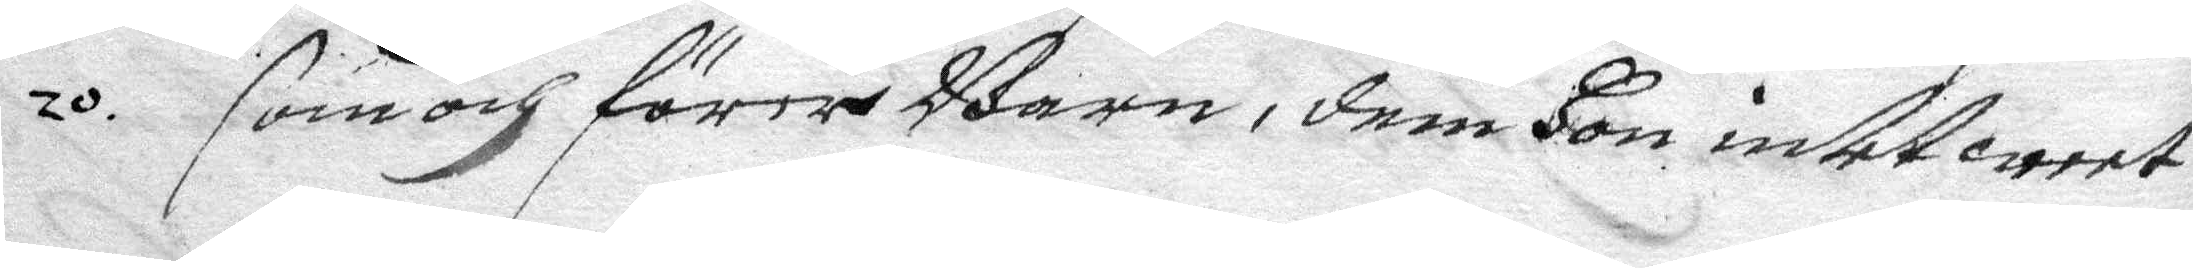som och förer Barn, dem hon intet weet
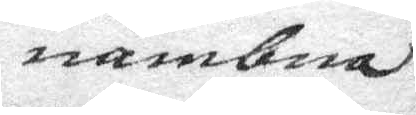nämbna
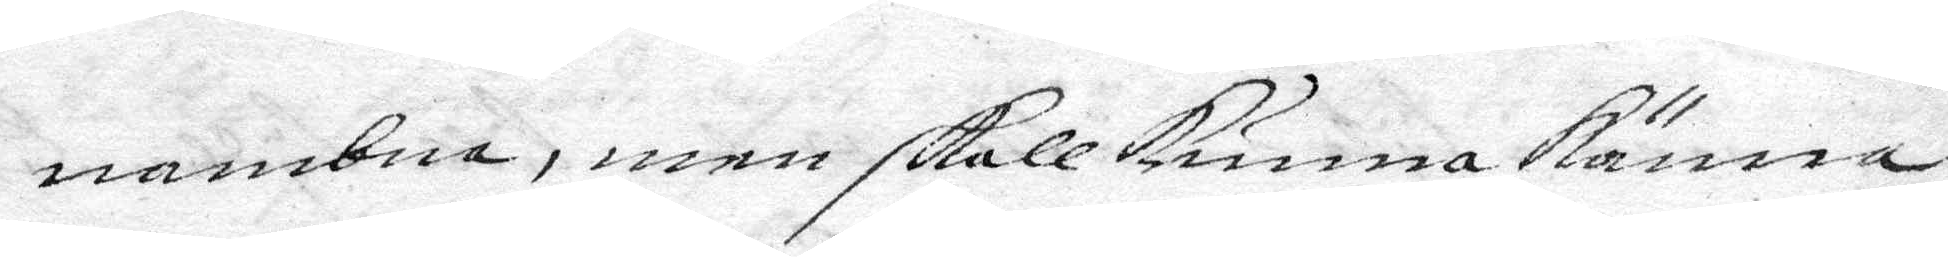nembna, men skall kunna känna
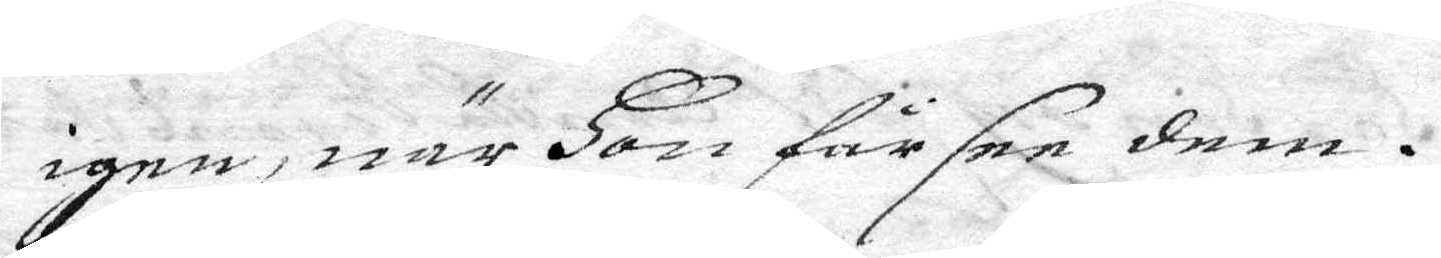igen, när hon får see dem.
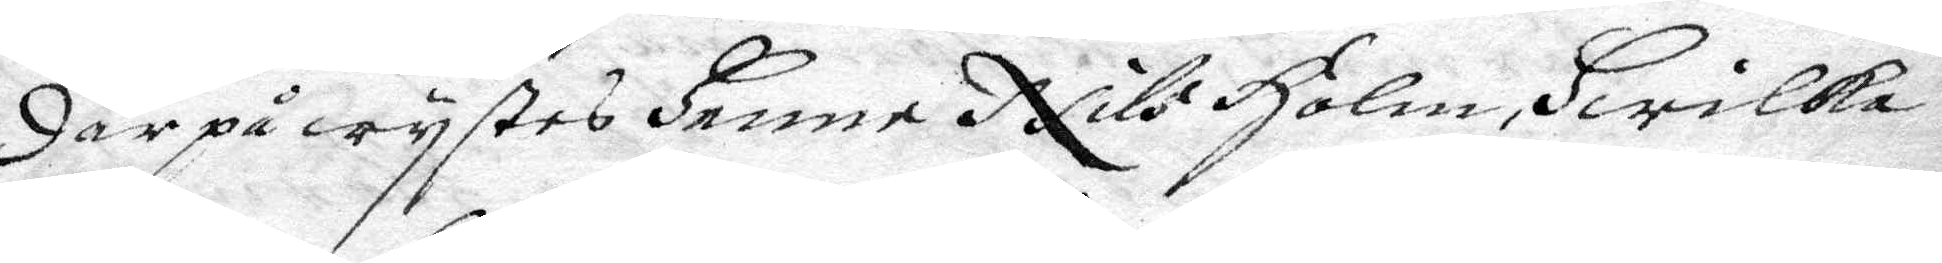Där på wystes henne Nils Holm, hwilka
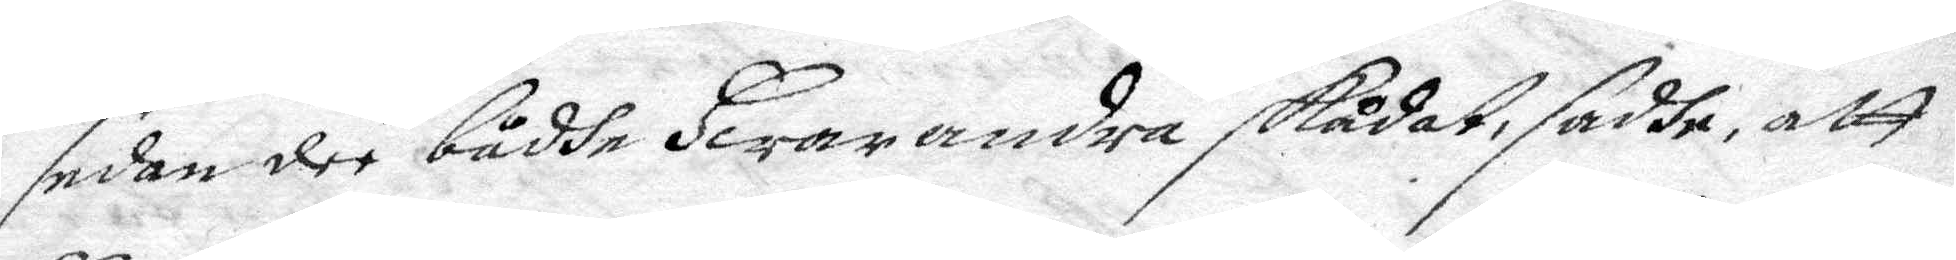sedandee bådhe hwarandra skådat, sadhe att
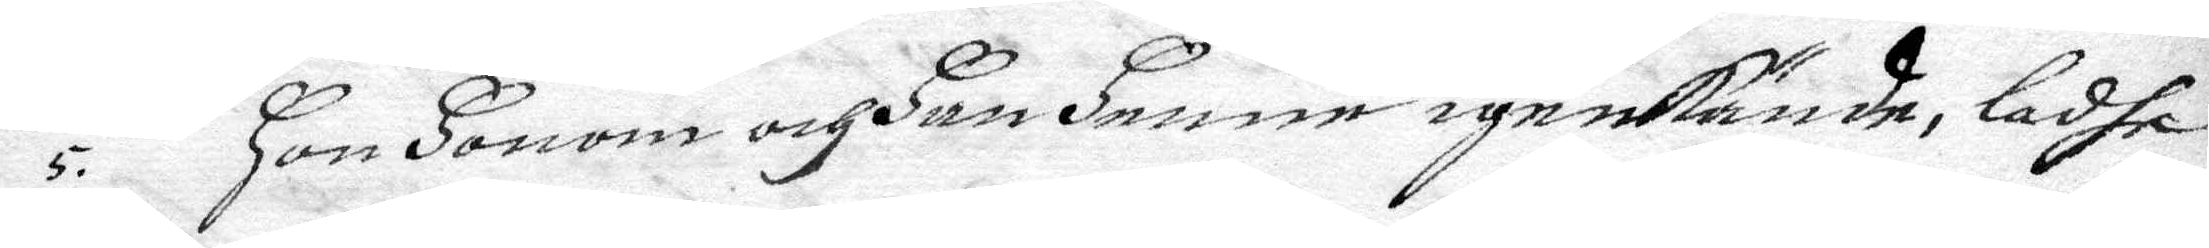hon honom och han hennen igenkände, ladhe
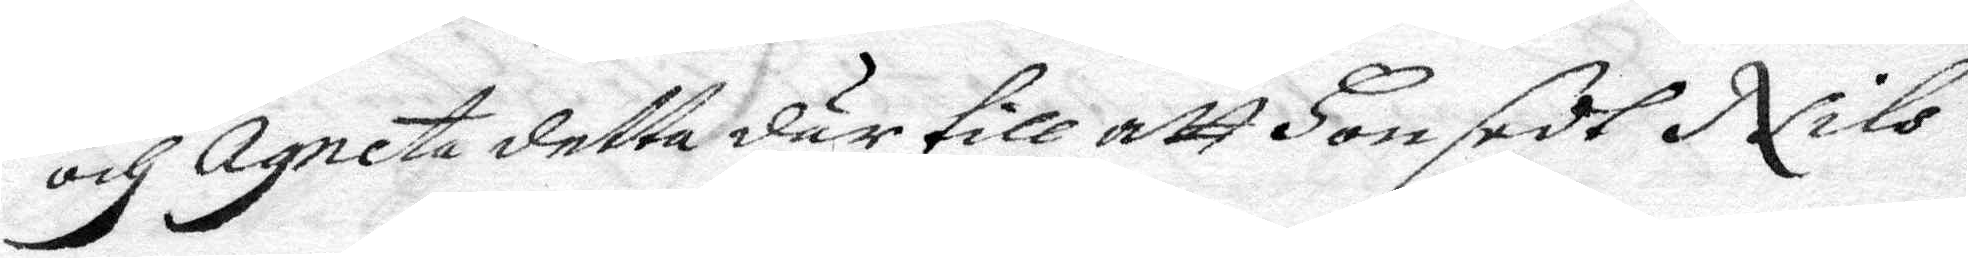och Agneta detta där till att hon sedt Nils
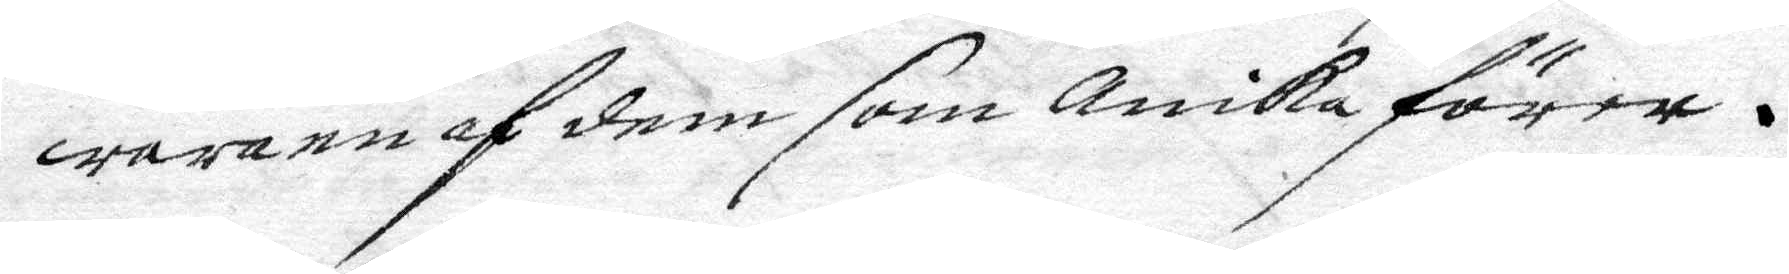wara en af dem som Annika förer.
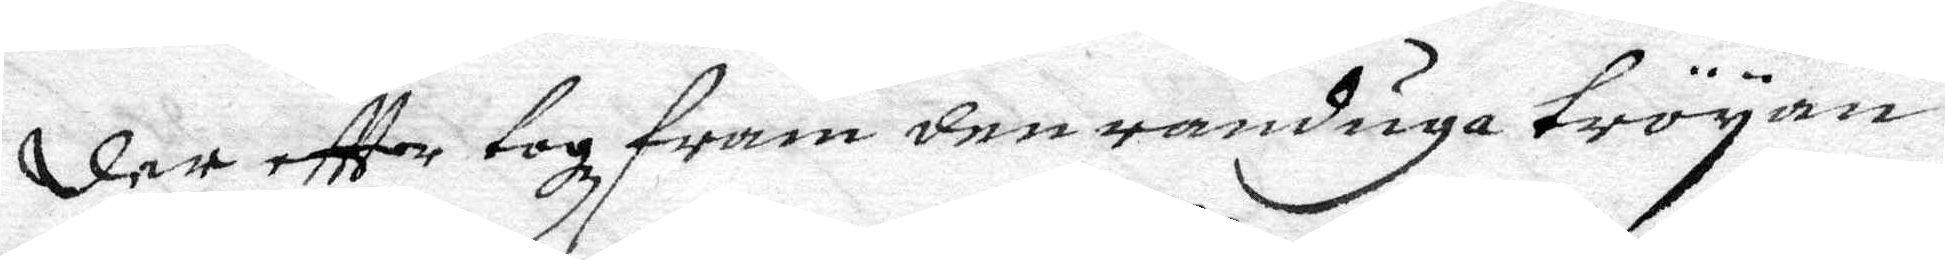Der eftter togz fram den randiga tröyan
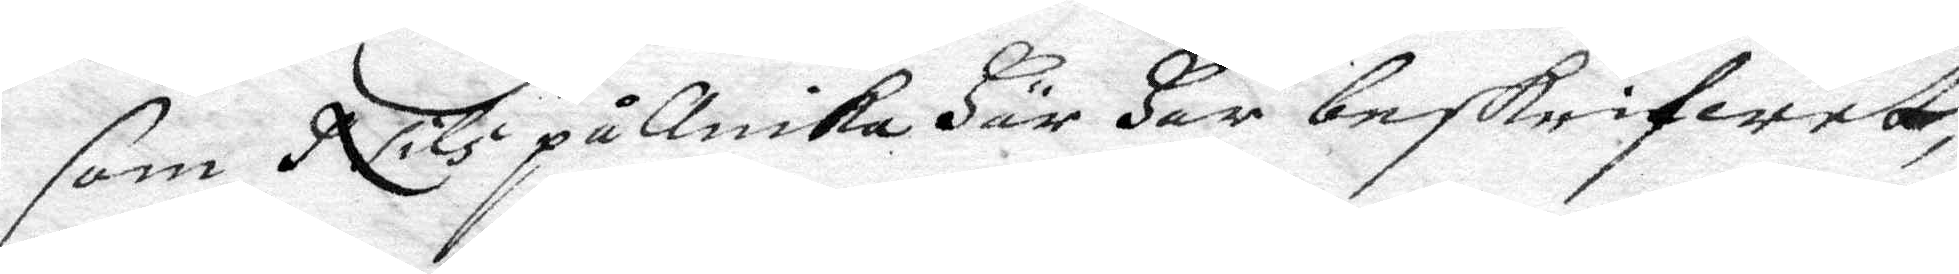som Nils på Anika här har beskrifwet,
